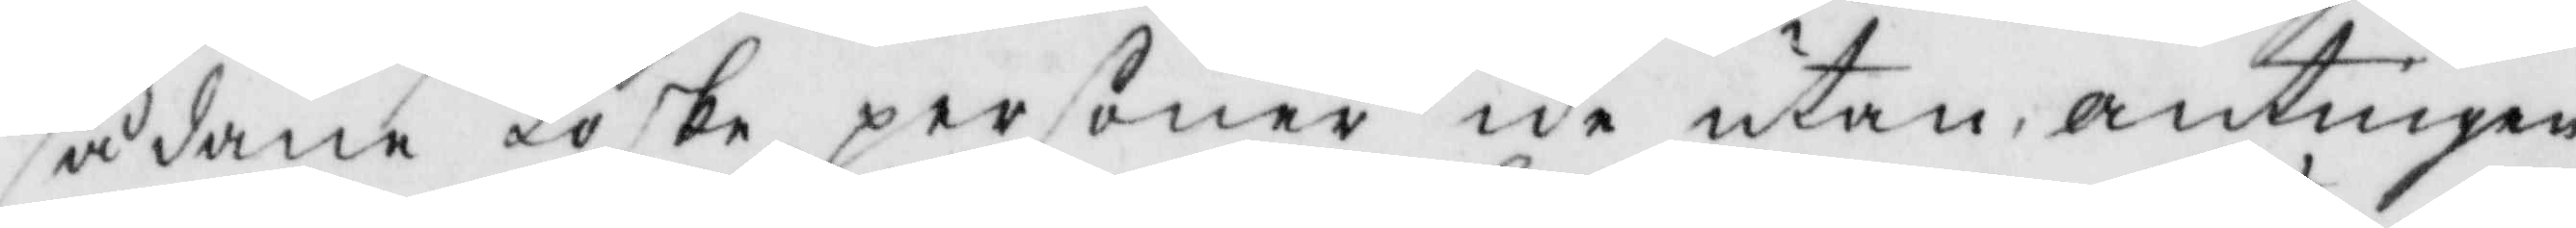sådane löske personer ike utan, antingen
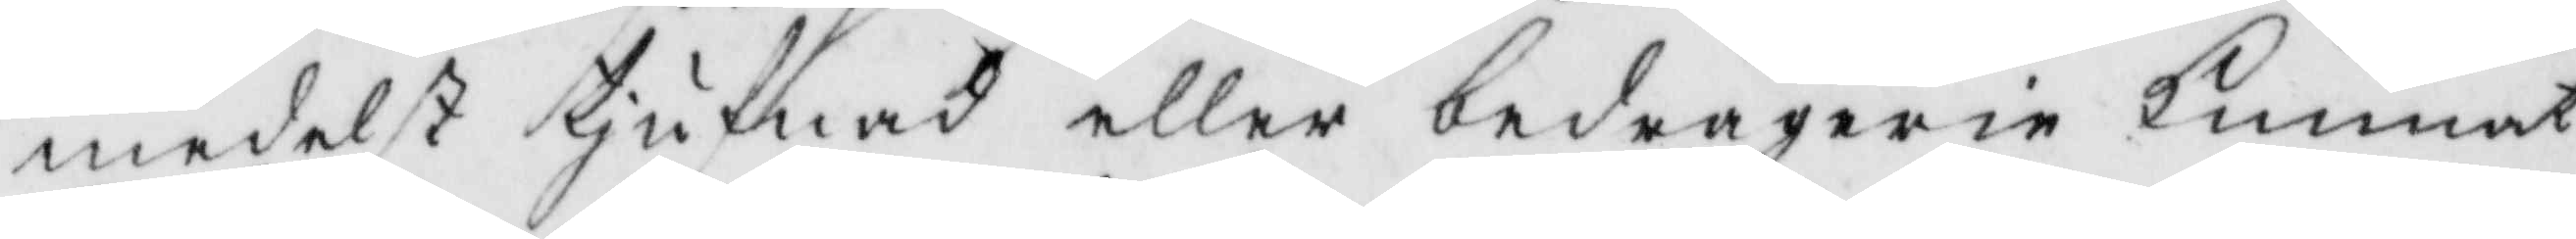medelst tjufnad eller bedrägerie kunnat
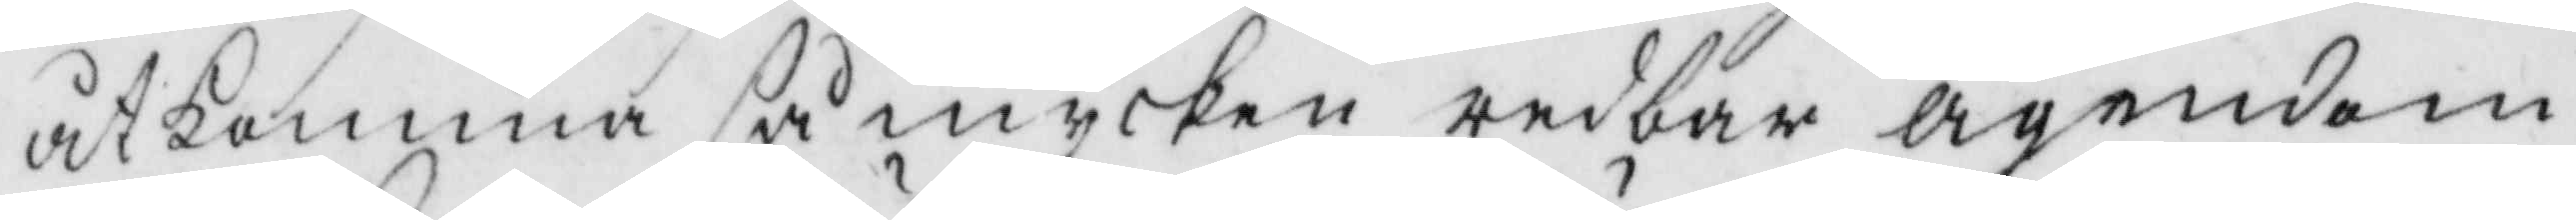åtkomma så mycken redbar ägendom
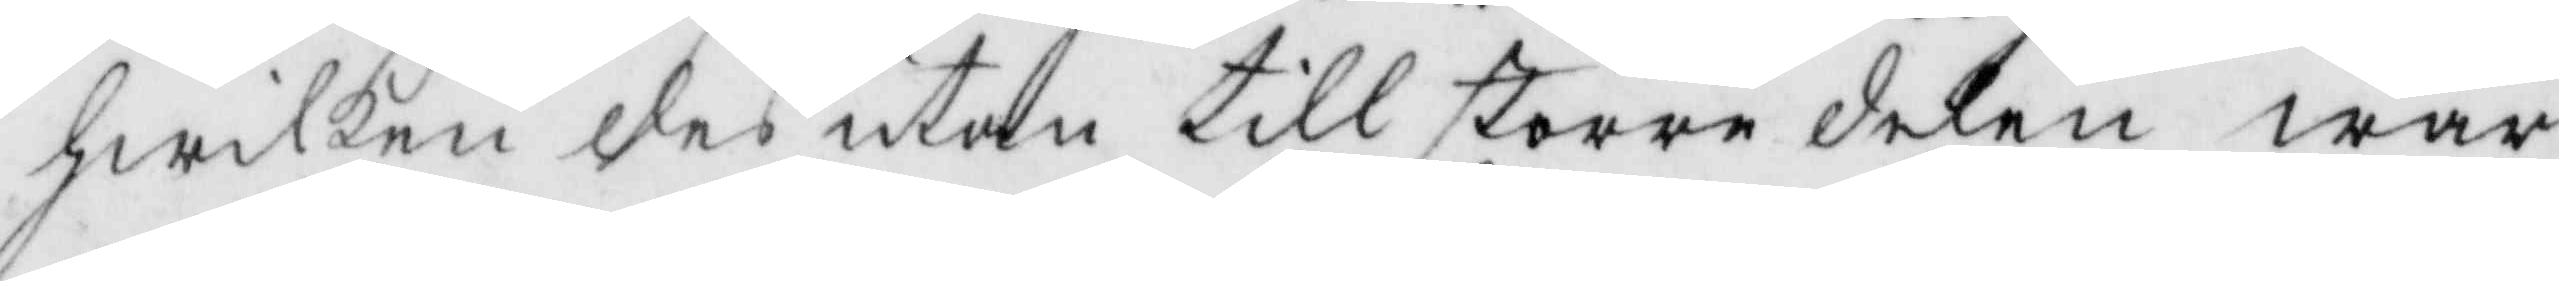hwilken des utom till större delen war
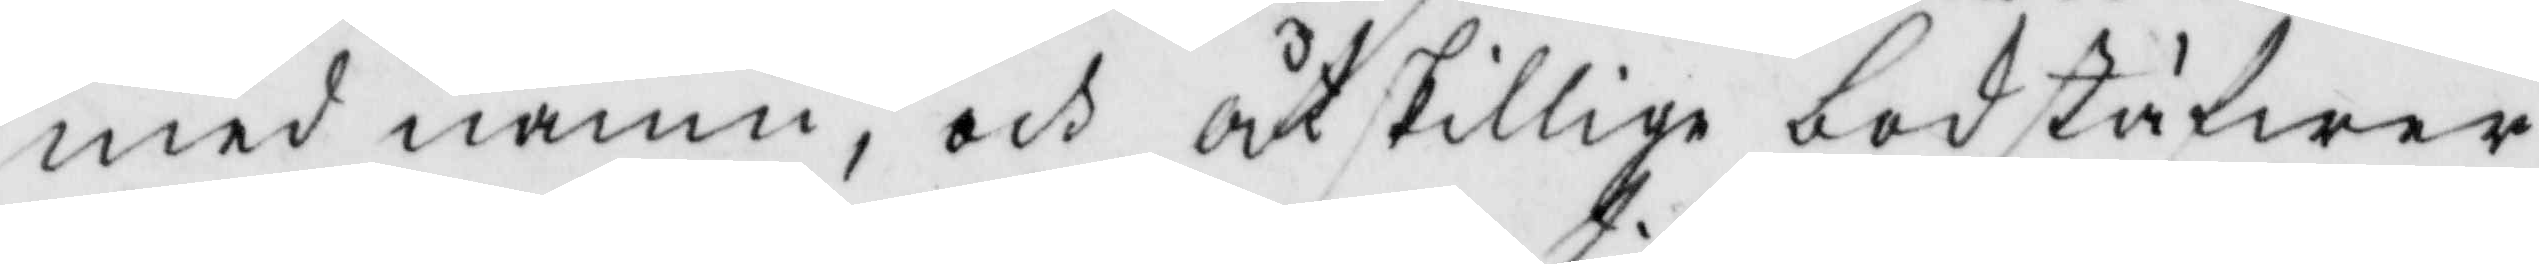med namn, och åtskilliga bokstäfwer
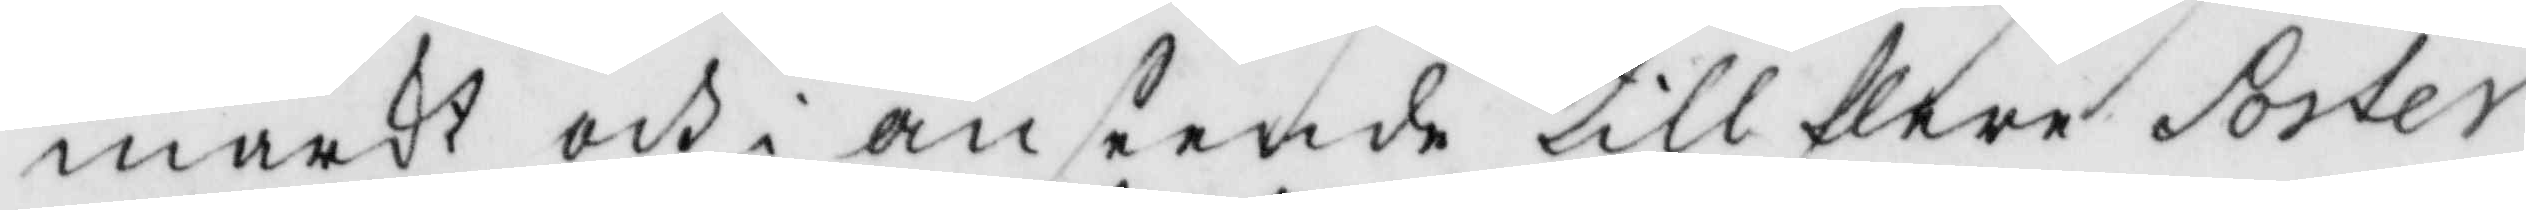märkt och i anseende till flere Poster
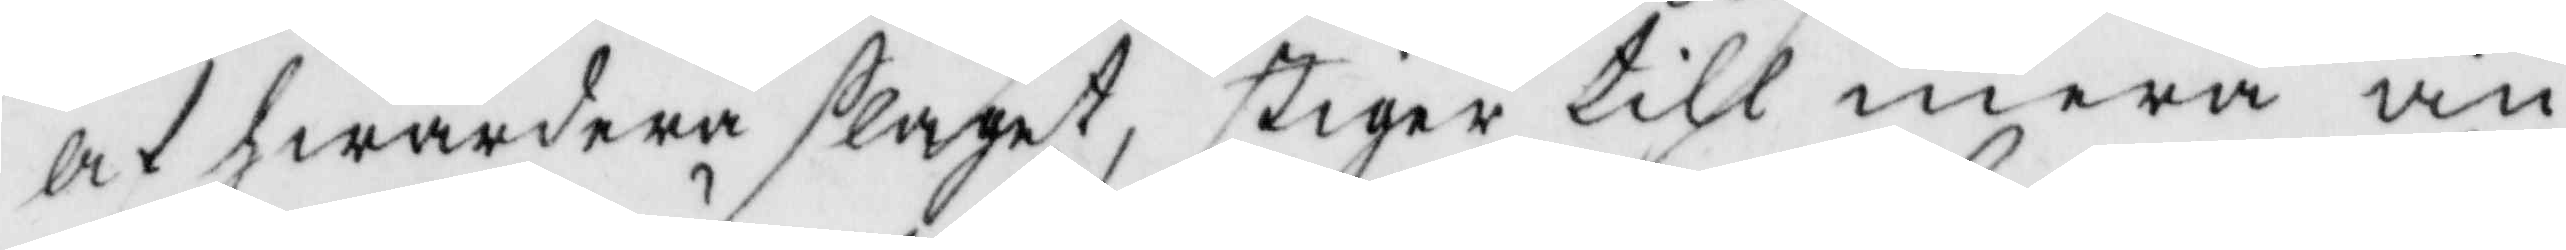af hwardera slaget, stiger till mera än
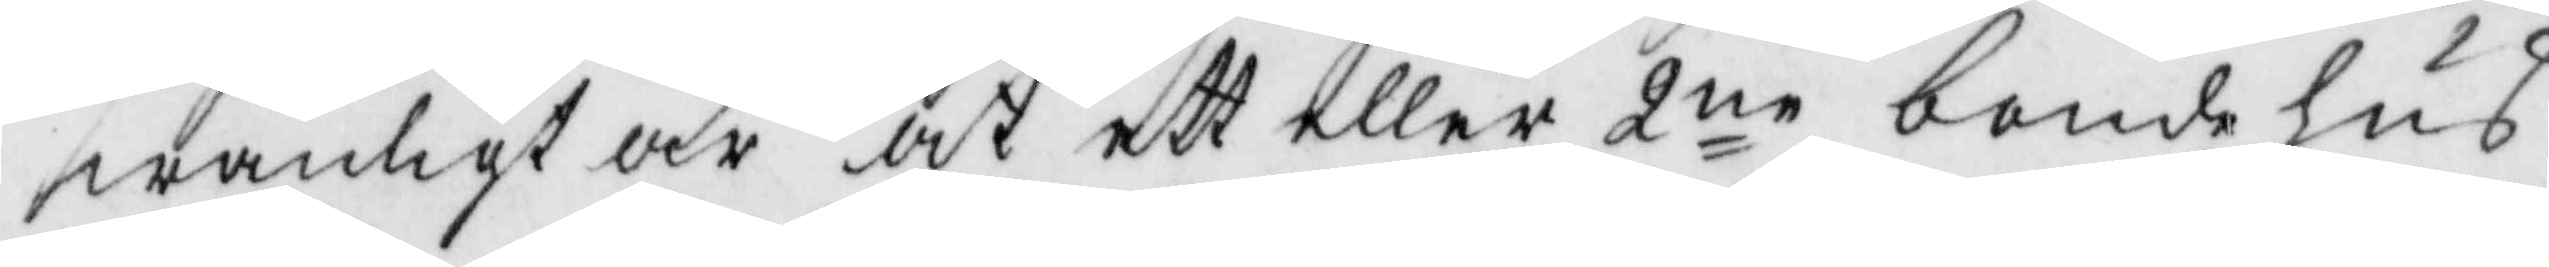wanligt är at ett eller 2ne bondehus
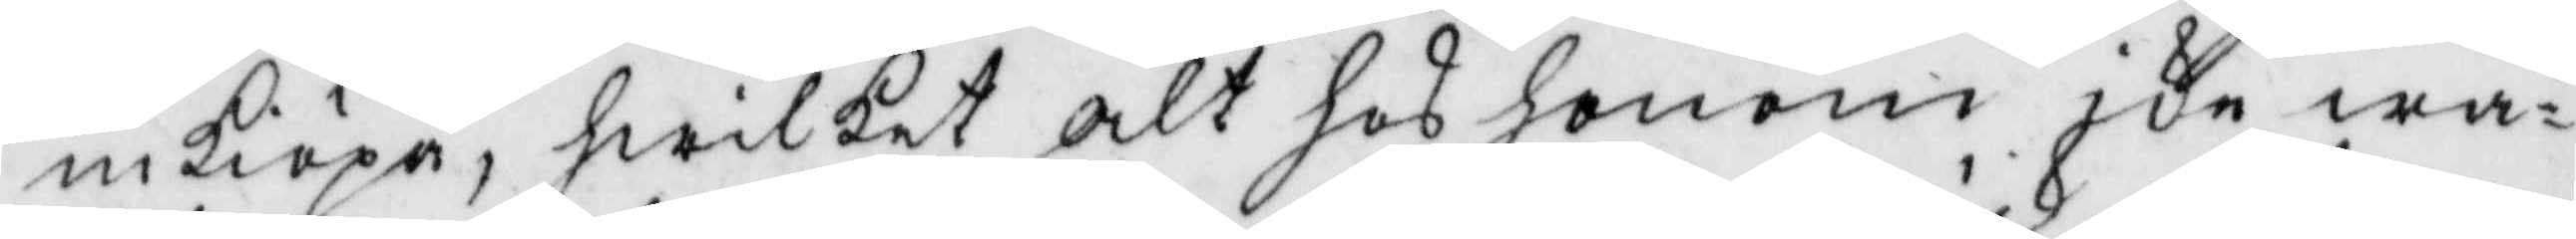inköpa, hwilket alt hos honom ike wa¬
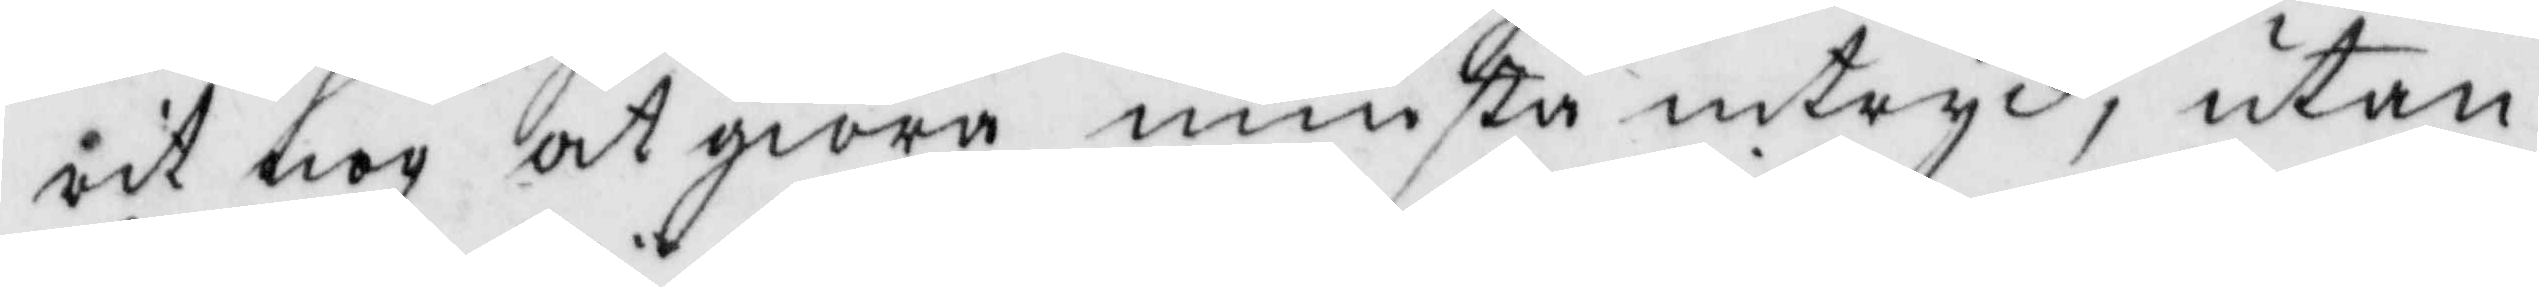rit nog at giöra minsta intryk, utan
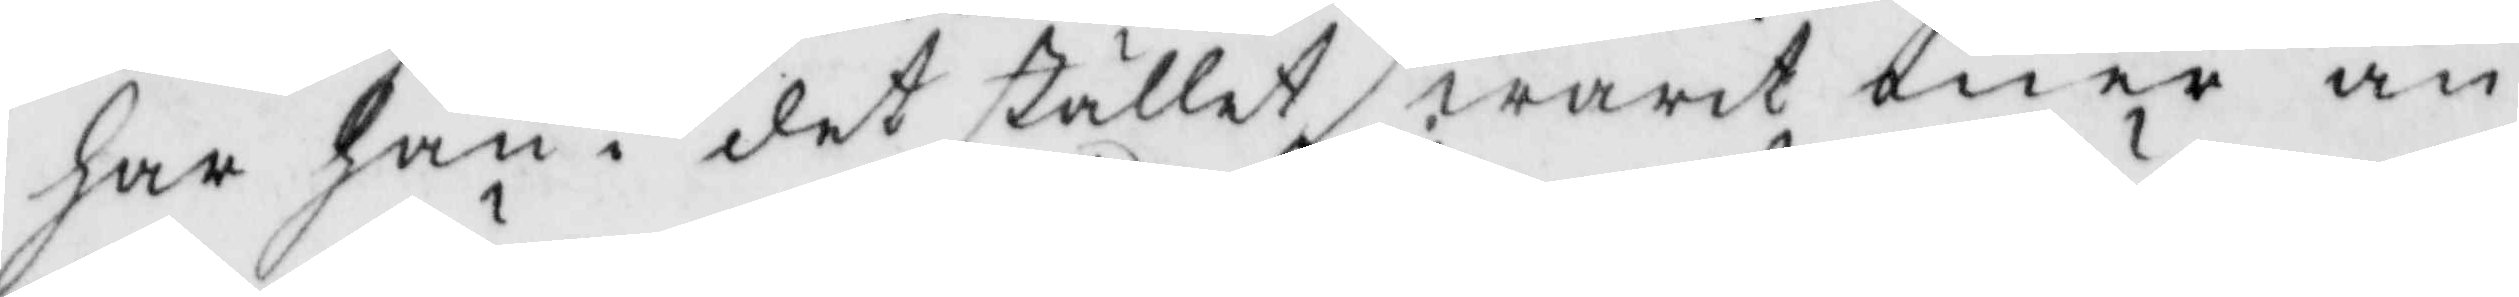har han i det stället warit mer än
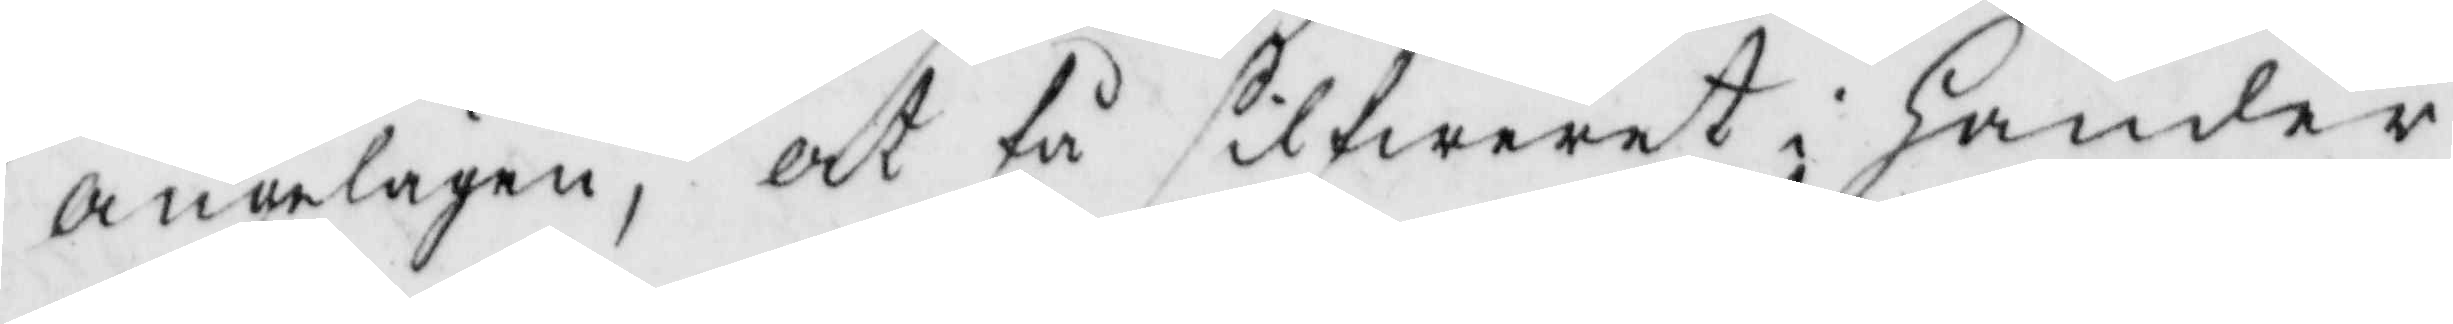angelägen, at få silfweret i händer
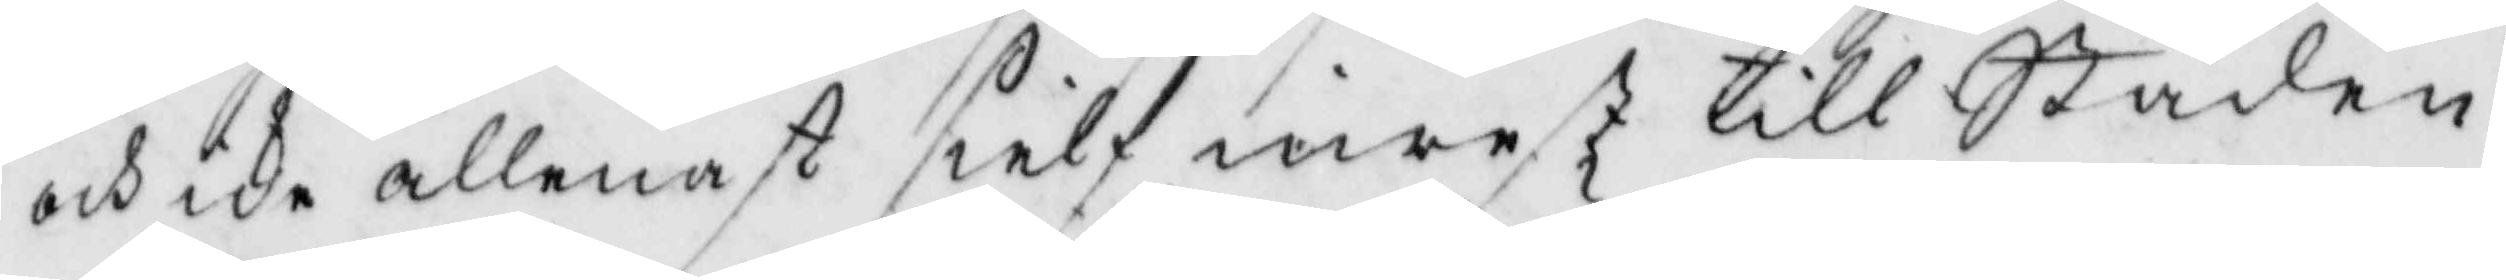och icke allenast sielf inrest till Staden
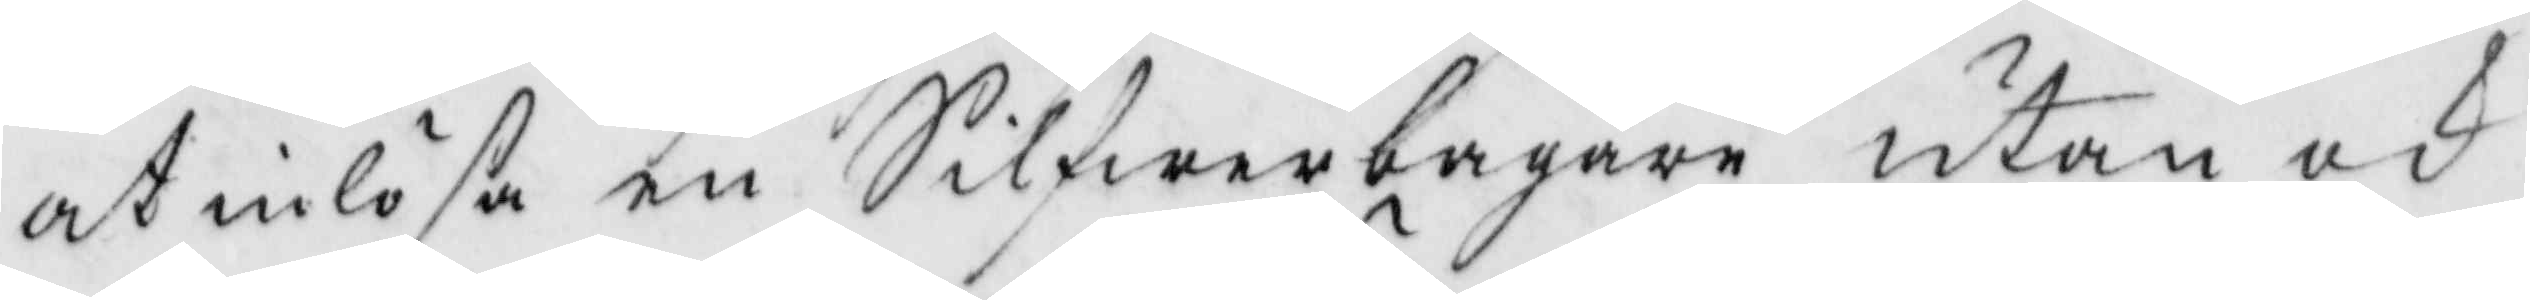at inlösa en Silfwerbägare utan och
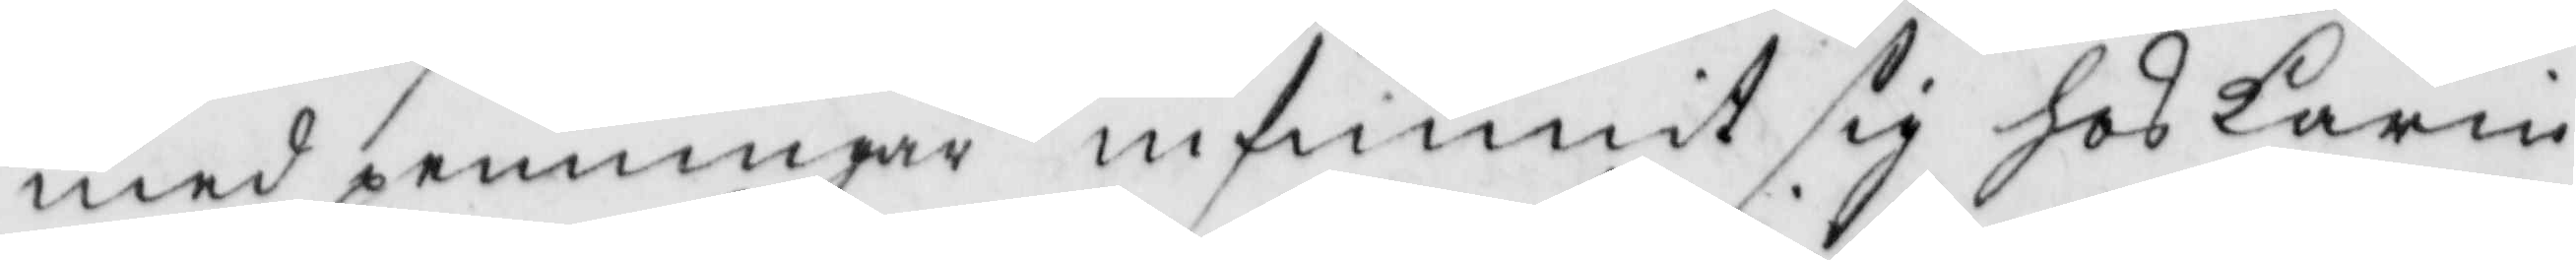med penningar infunnit sig hos Karin
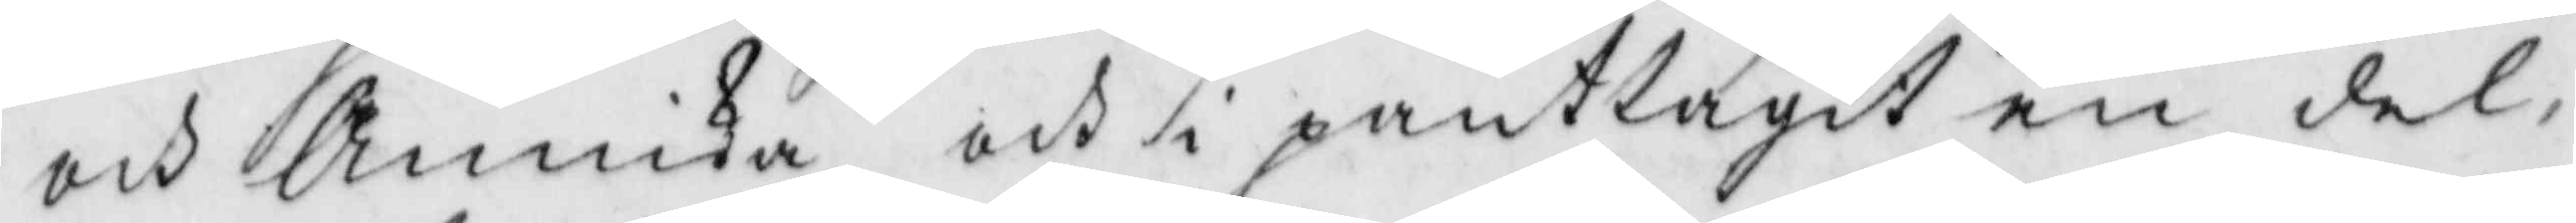och Annika och i pant tagit en del,
